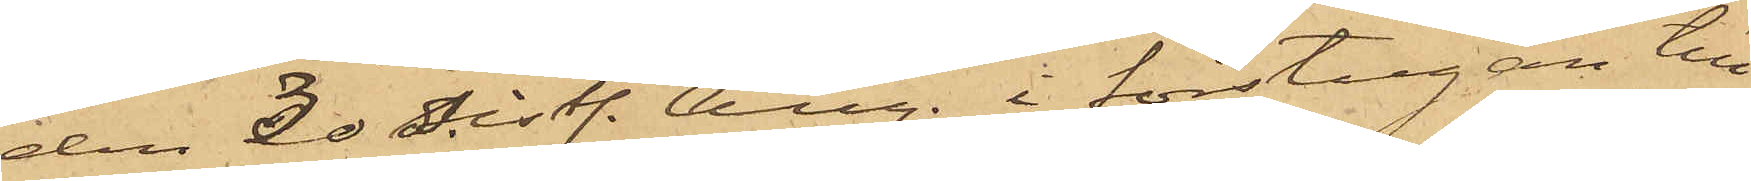den 30 sistl. Aug. i förstugan till
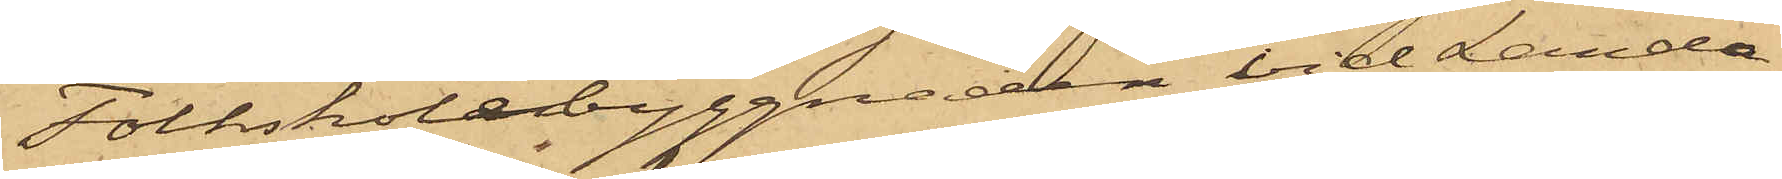Folkskolebyggnaden vid Landa¬
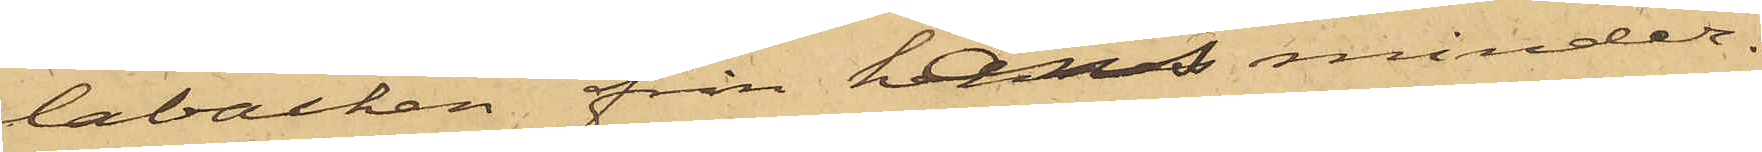labacken från hans minder¬
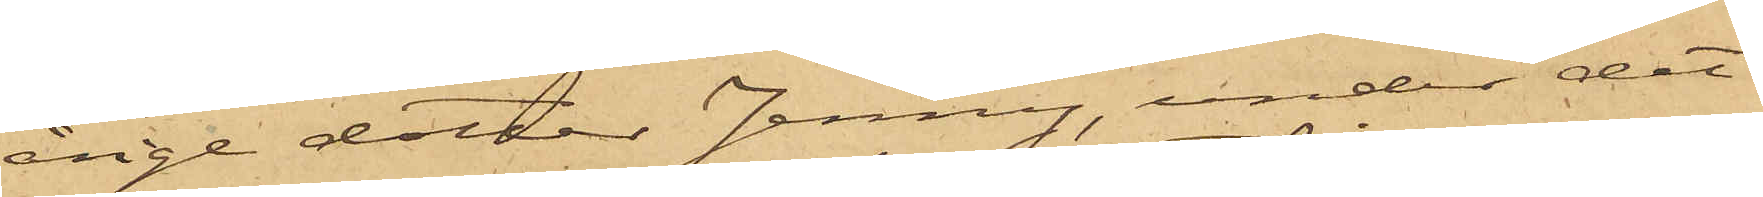åriga dotter Jenny, under det
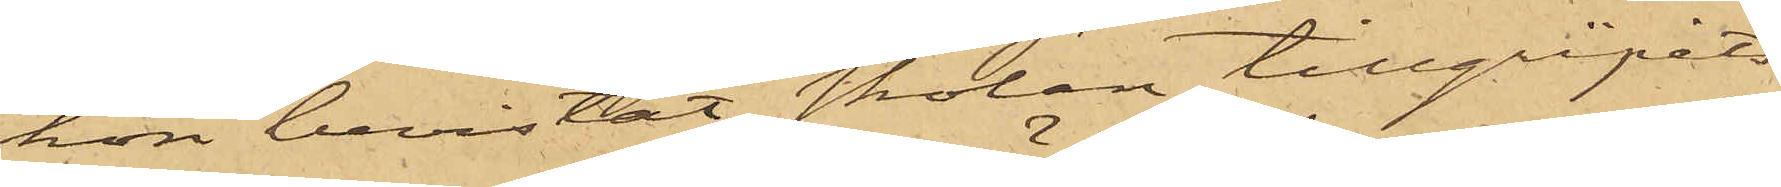hon bevistat skolan, tillgripits
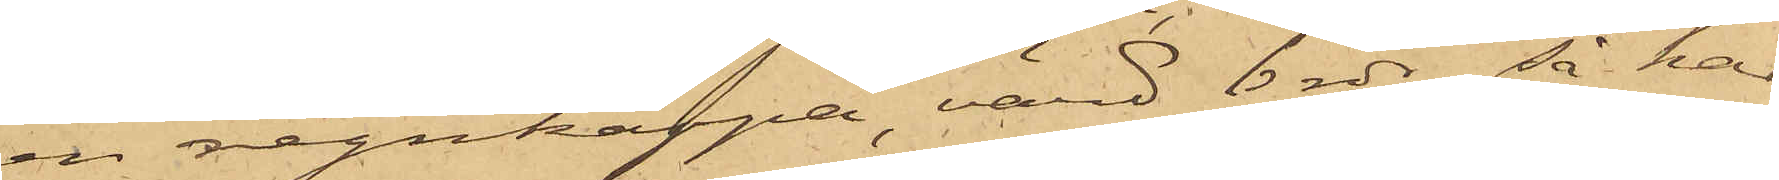en regnkappa, värd 6 rdr, så har
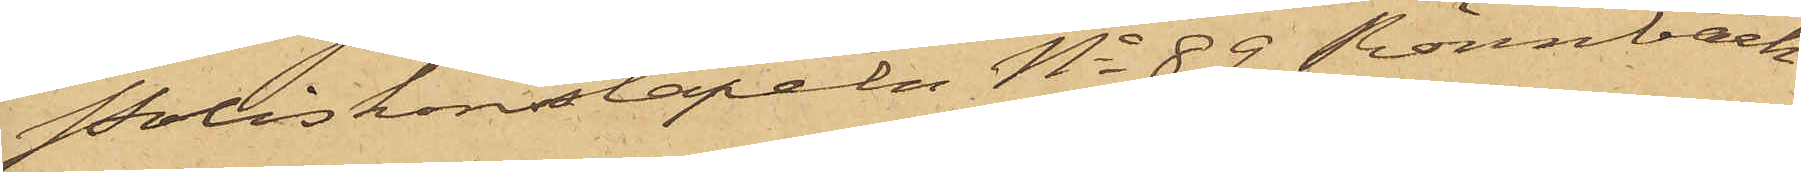Poliskonstapeln No 89 Rönnbäck
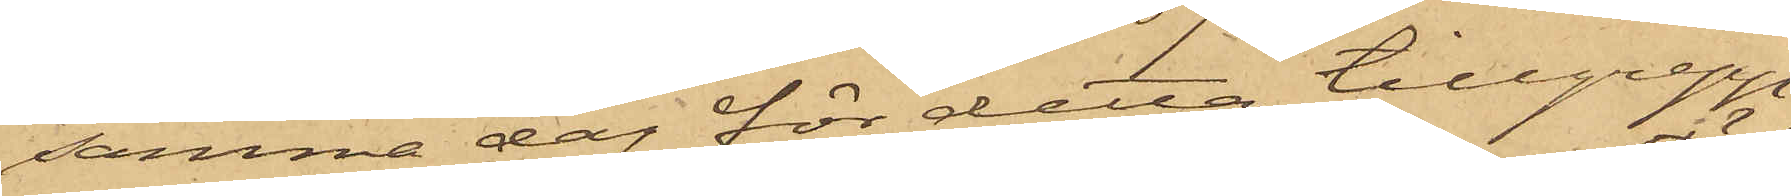samma dag för detta tillgrepp
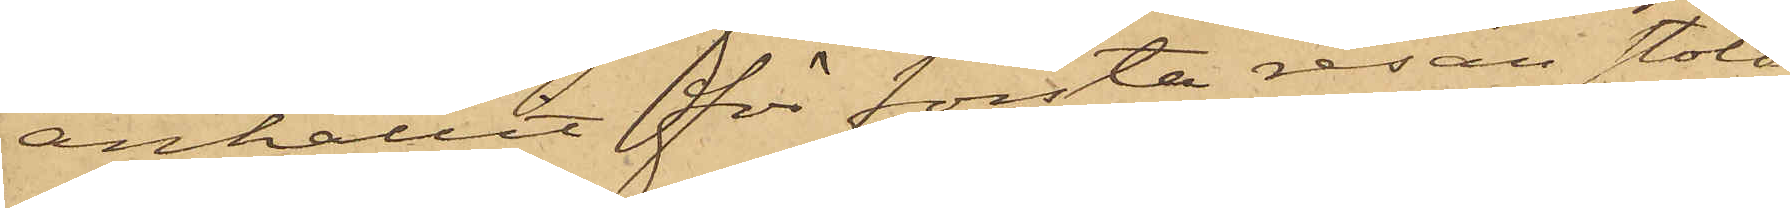anhållit för första resan stöld
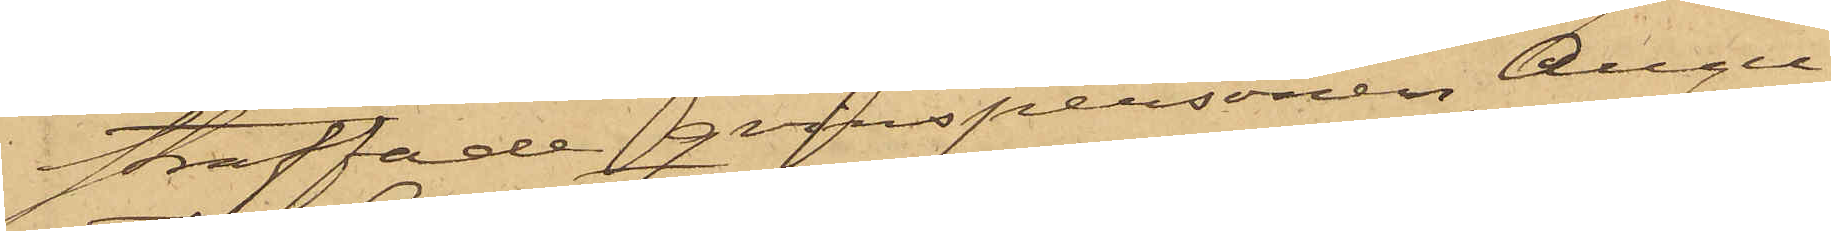straffade qvinspersonen Augu¬
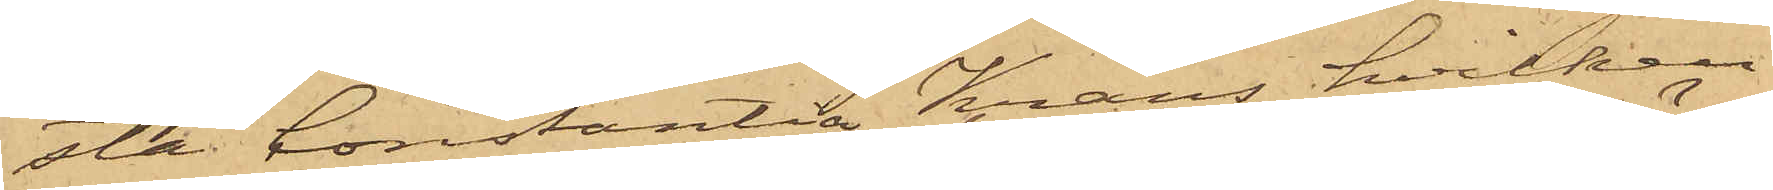sta Constantia Krans, hvilken
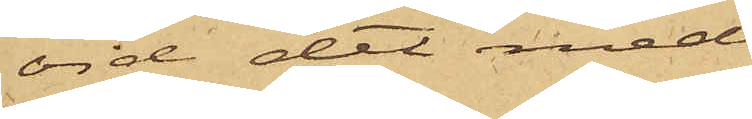vid det med
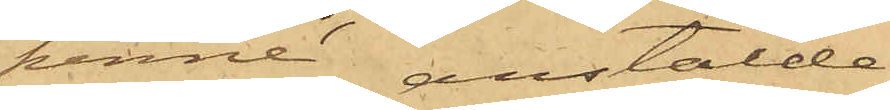henne anstälda
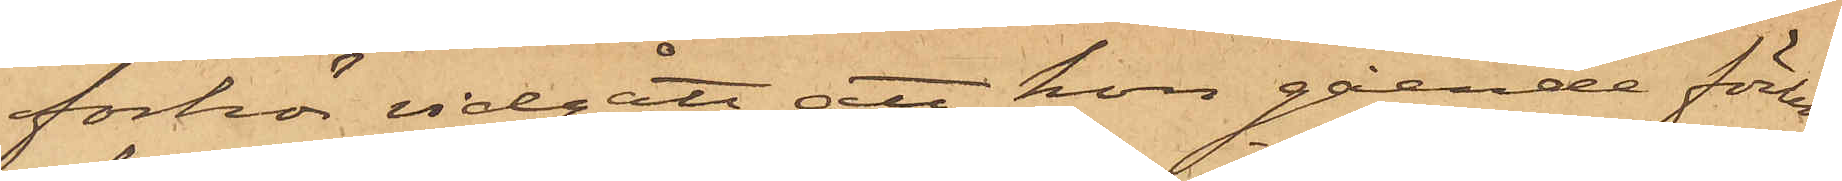förhör vidgått, att hon gående förbi
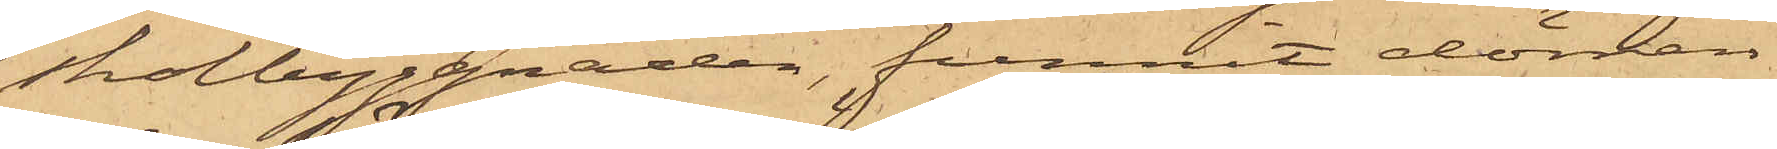skolbyggnaden, funnit dörren
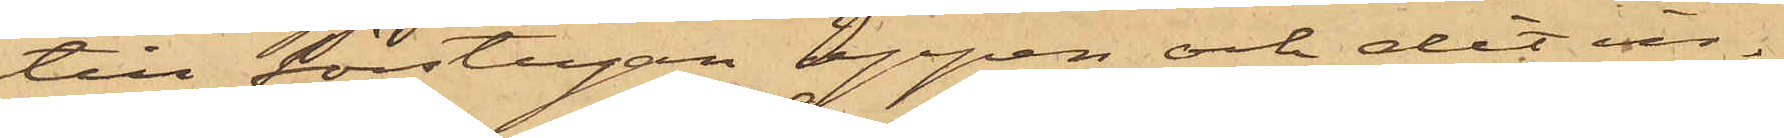till förstugan öppen och dit in¬
